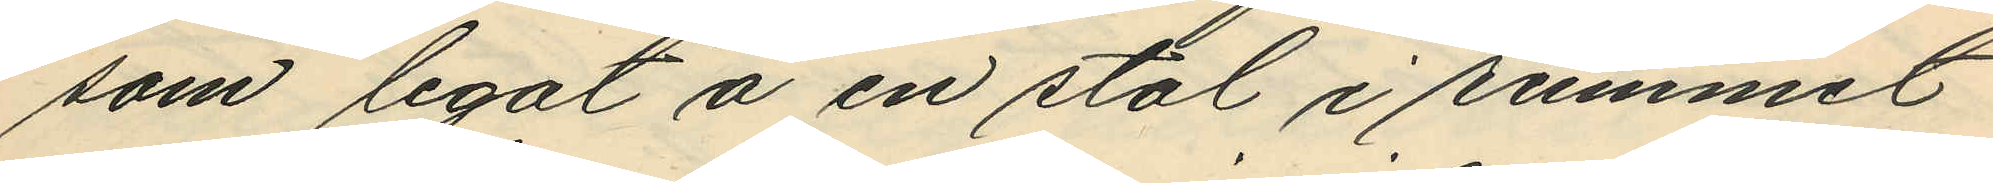som legat å en stol i rummet
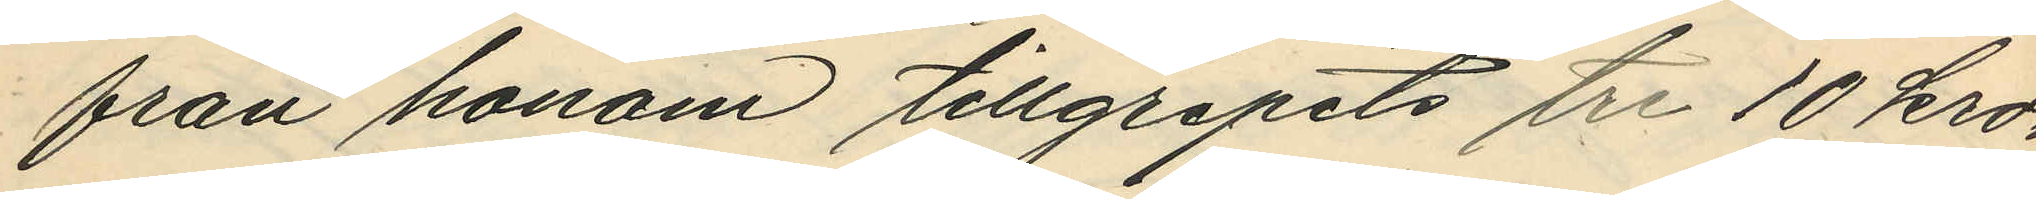från honom tillgripits tre 10 kro¬
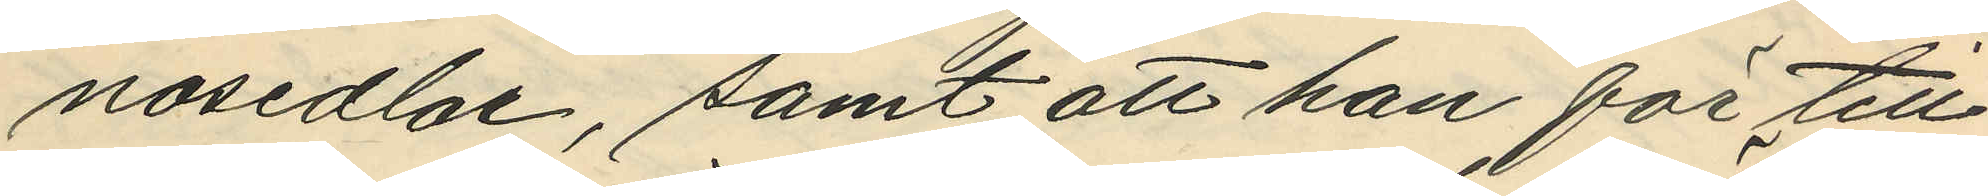nosedlar, samt att han för till¬
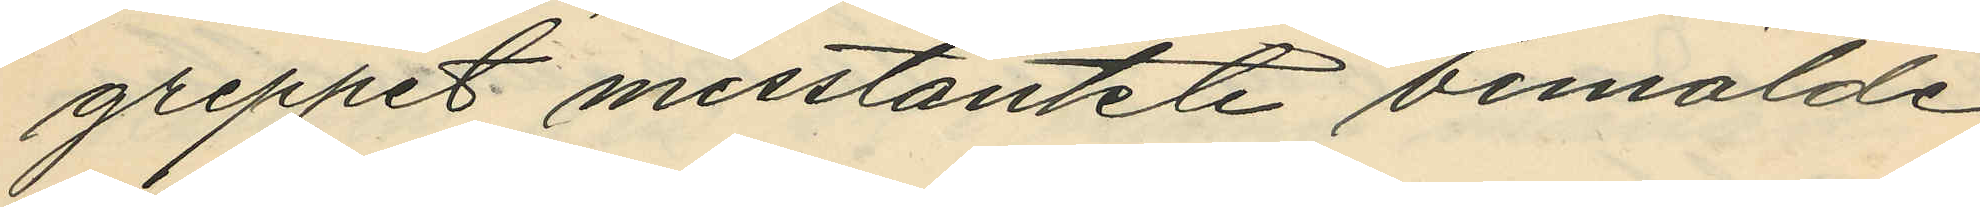greppet misstänkte bemälde
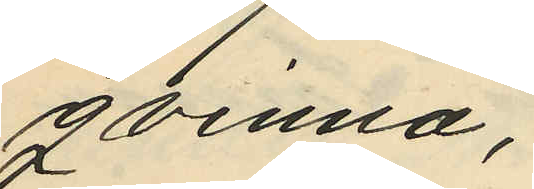qvinna;
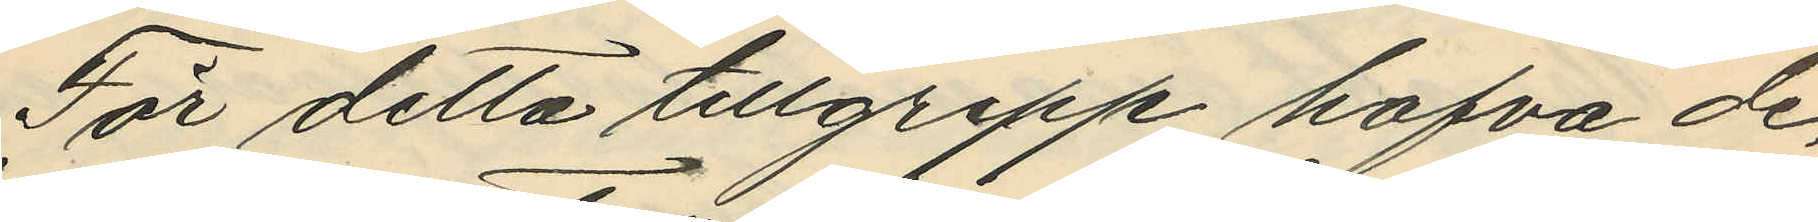För detta tillgrepp hafva de¬
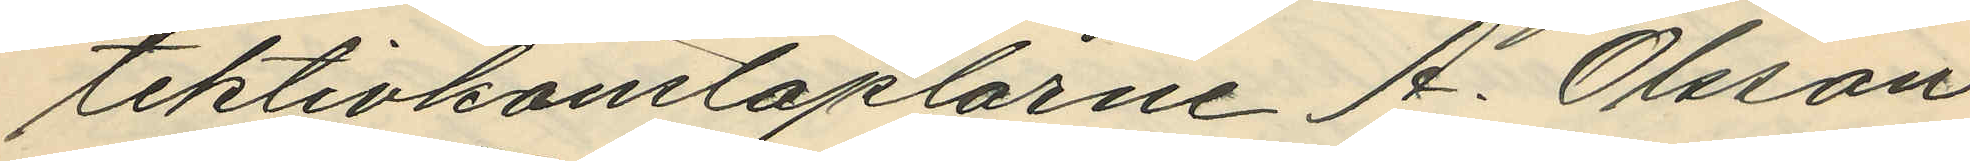tektivkonstaplarne A. Olsson
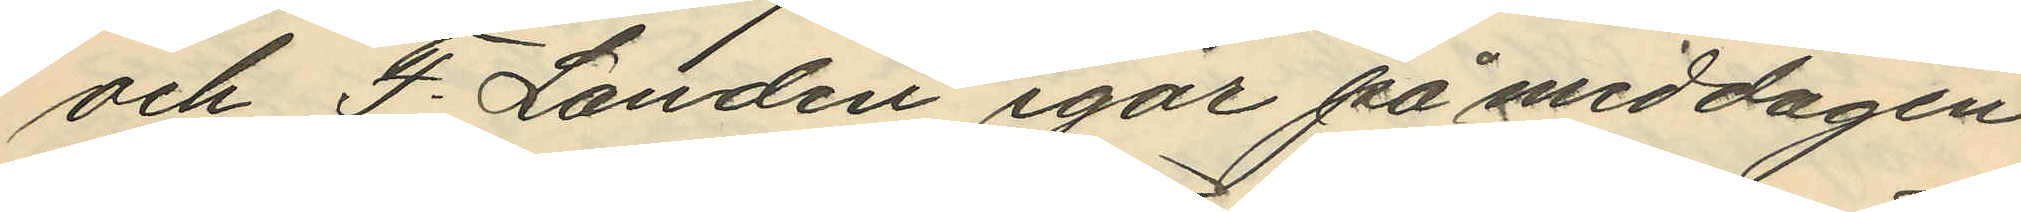och F. Landin igår på middagen
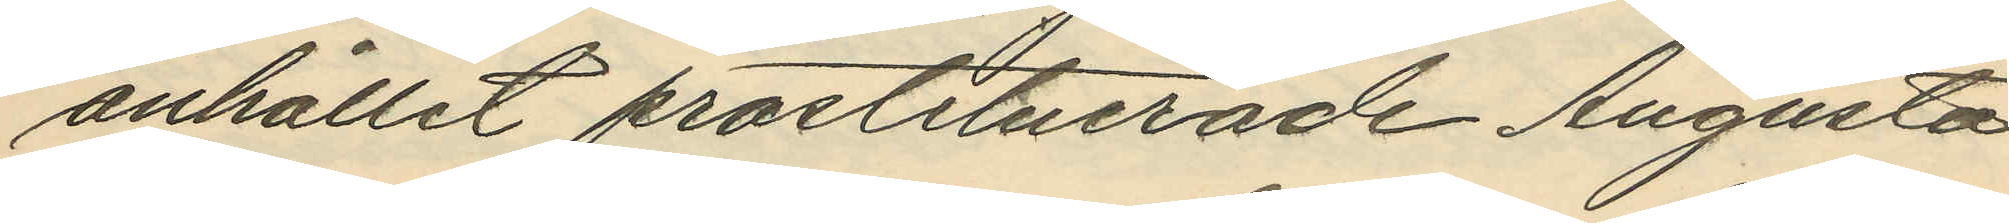anhållit prostituerade Augusta
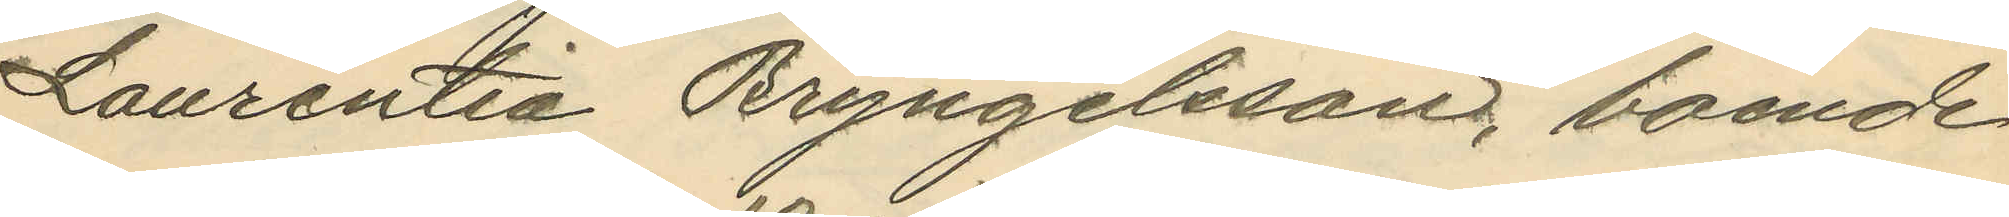Laurentia Bryngelsson, boende
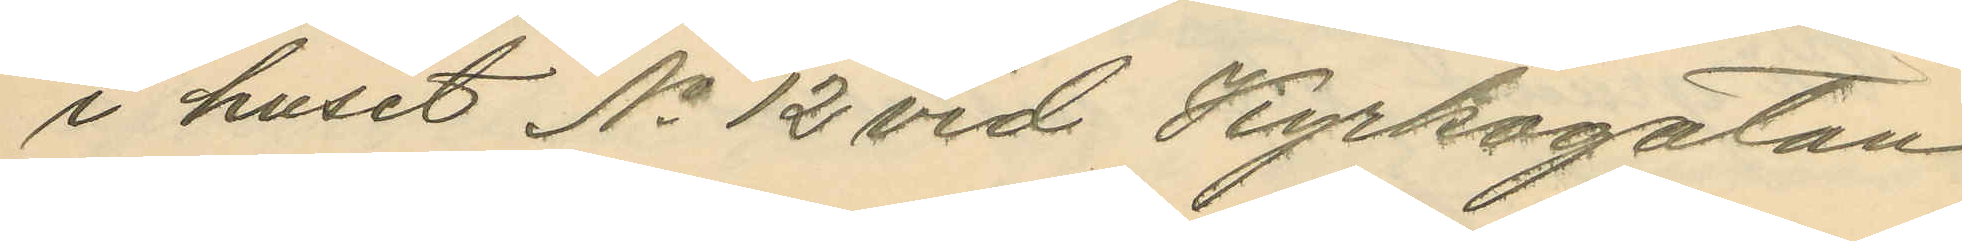i huset No 12 vid Kyrkogatan
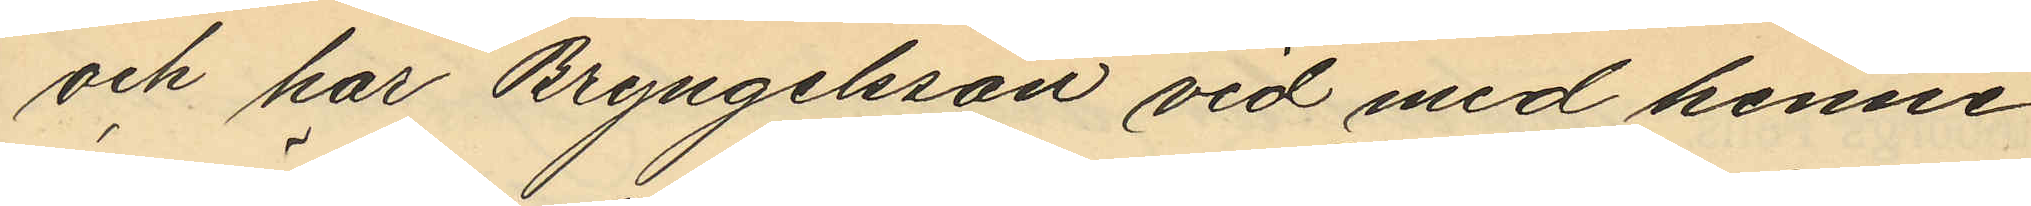och har Bryngelsson vid med henne
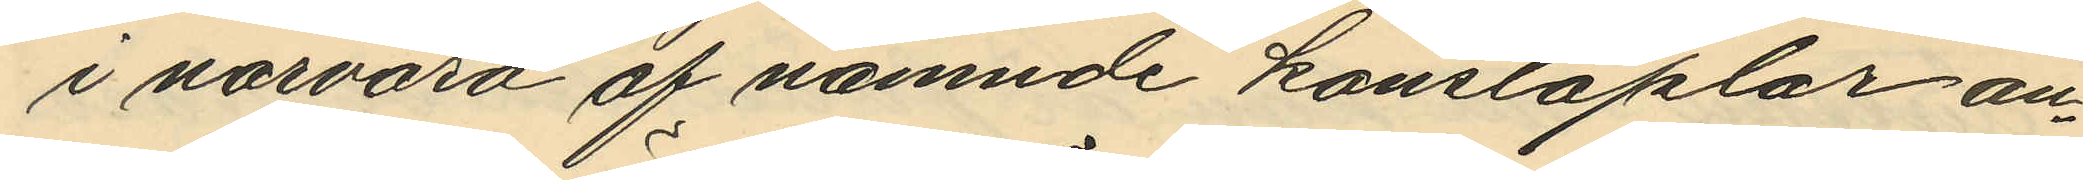i närvaro af nämnde konstaplar an¬
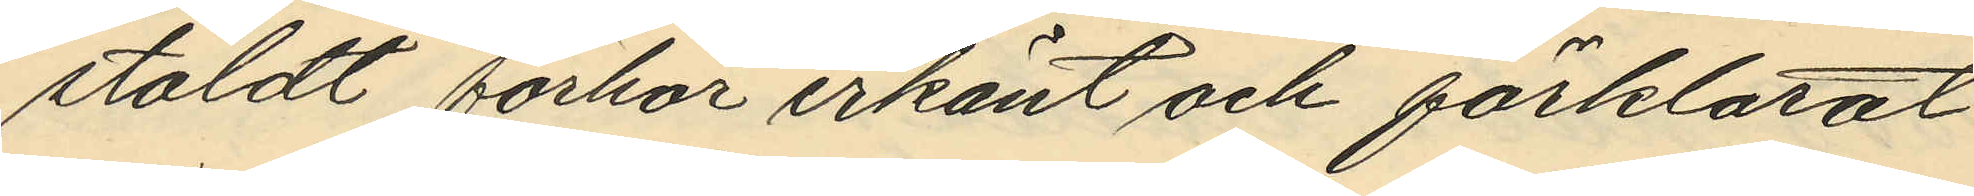stäldt förhör erkänt och förklarat
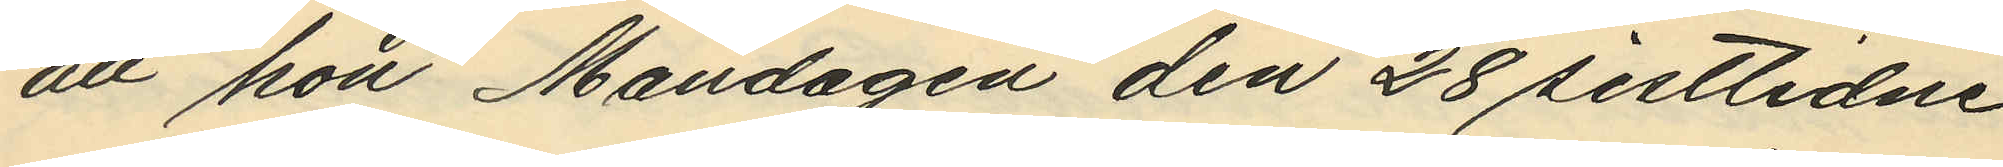att hon Måndagen den 28 sistlidne
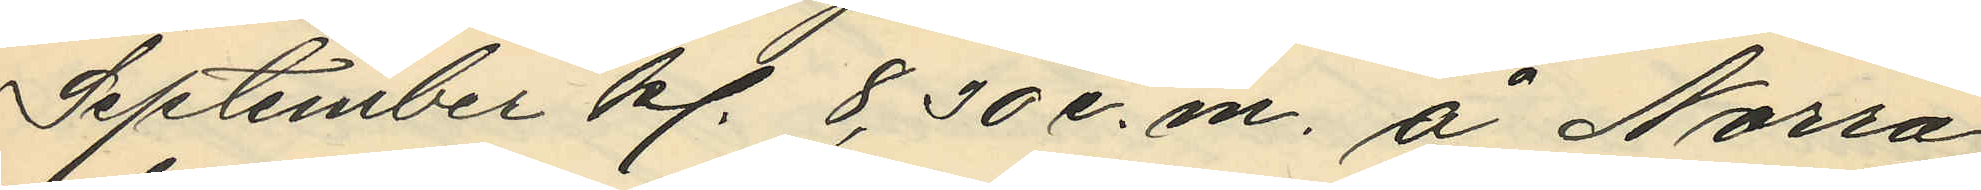September kl. 8,30 e.m. å Norra
